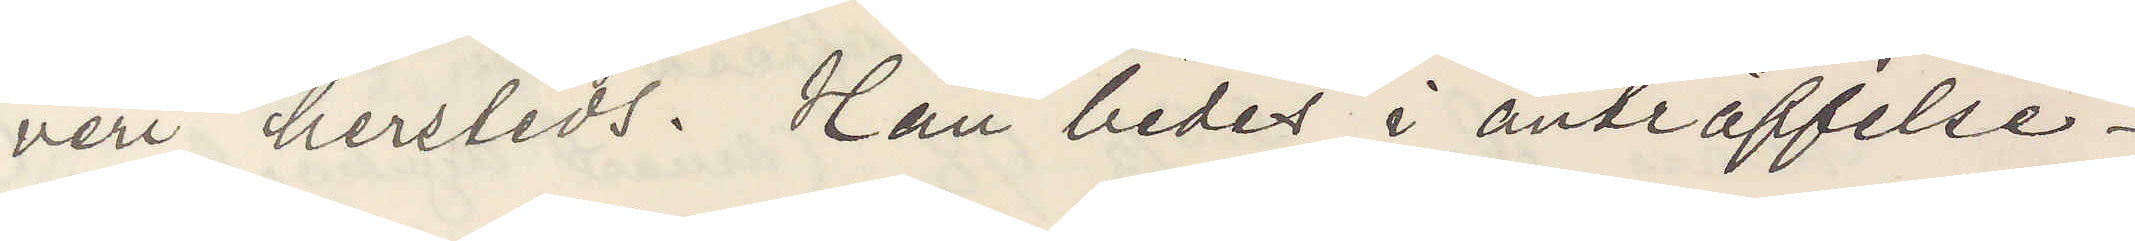veri hersteds. Han bedes i ansträffelse¬
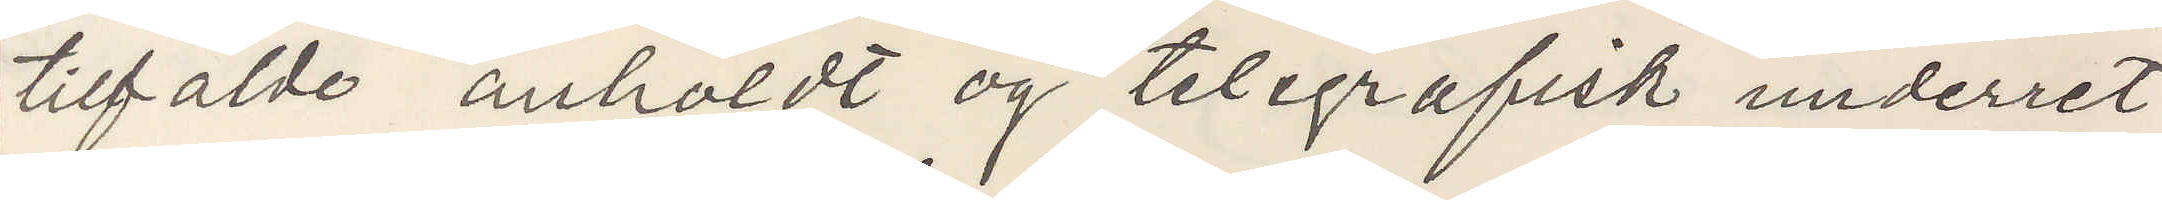tilfälde anholdt og telgrafisk underret¬
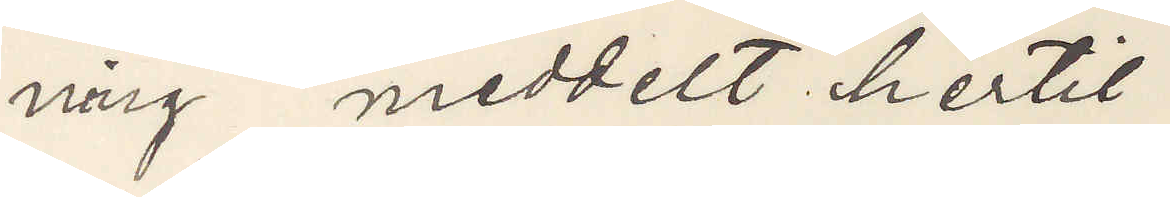ning meddelt hertil.
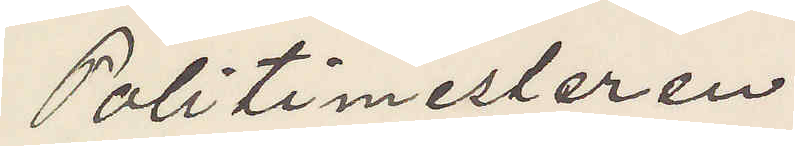Politimesteren
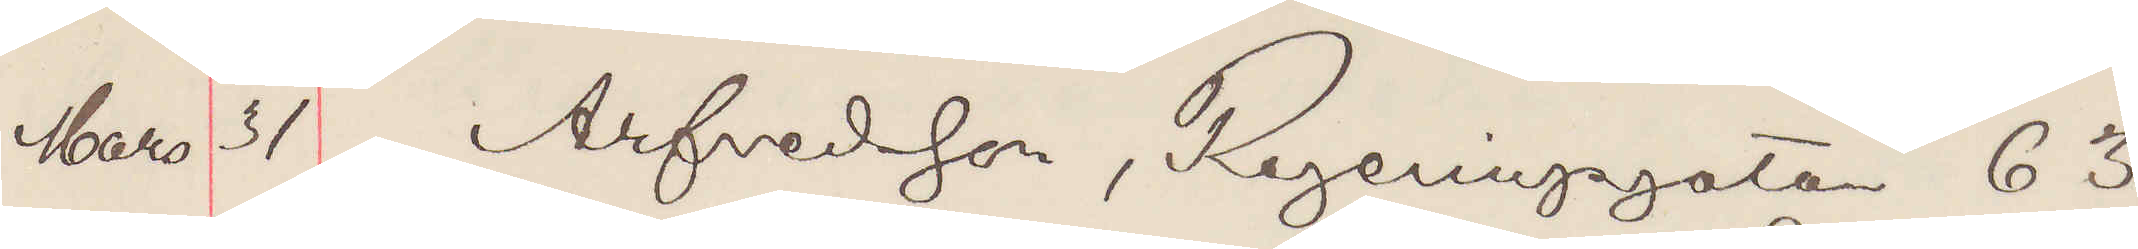Mars 31 Arfvedsson, Regeringsgatan 63
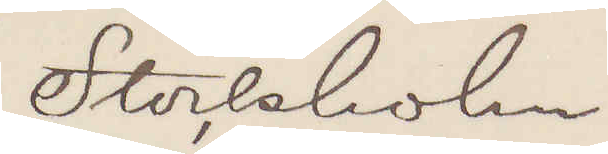Stockholm
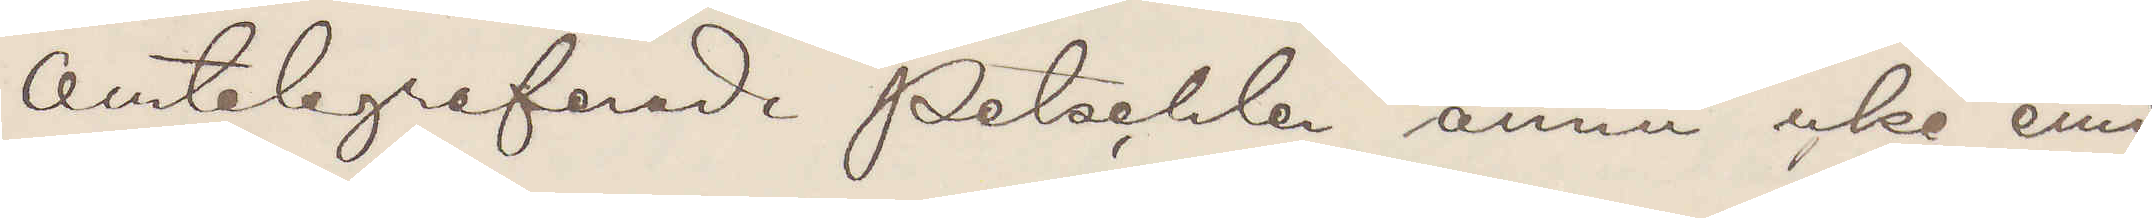Omtelegraferad Petschler ännu icke emi¬
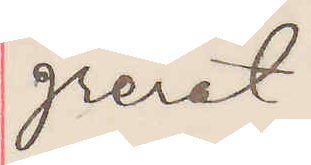grerat
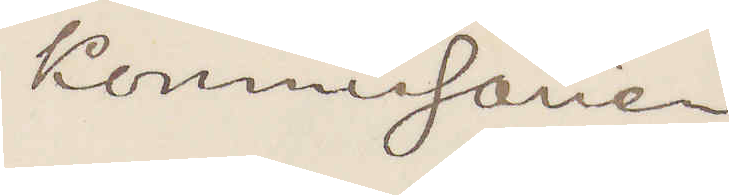Kommissarien
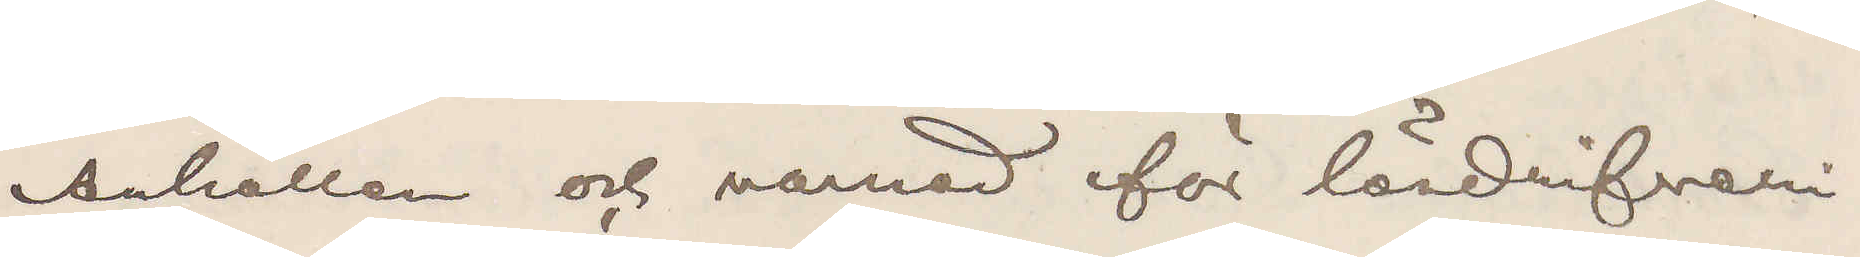Anhållen och varnad för lösdrifveri.
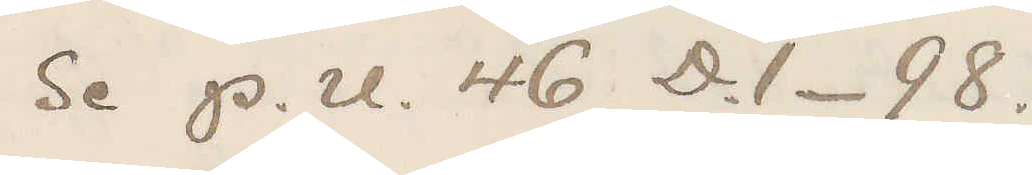Se P. U. 46 D.1- 98.
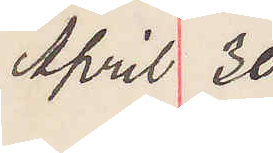April 30
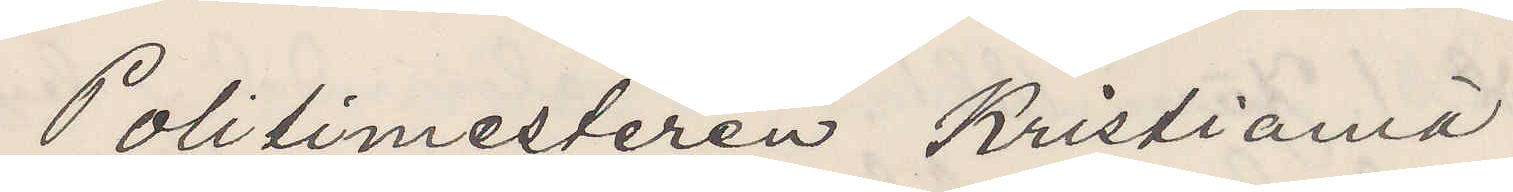Politimesteren Kristiania.
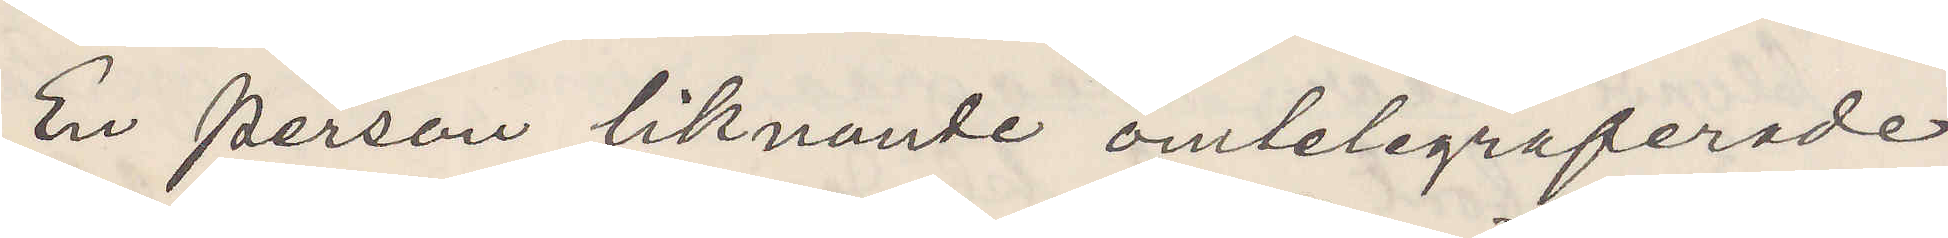En person liknande omtelegraferade
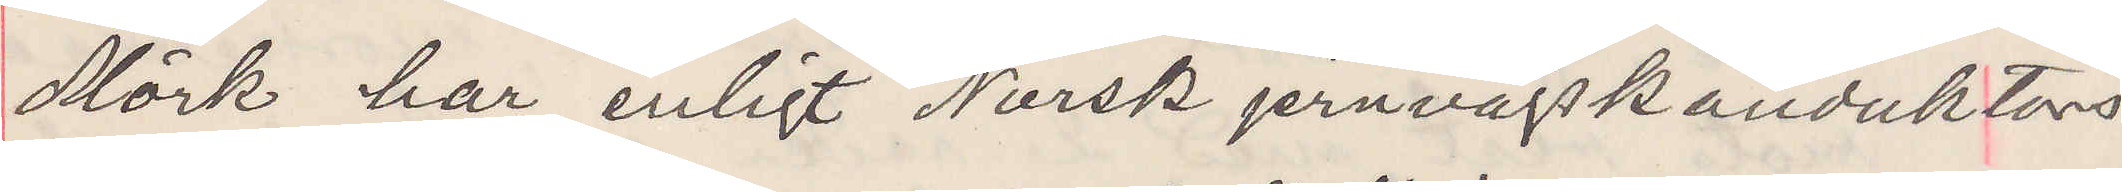Mörk har enligt Norsk jernvägskonduktörs
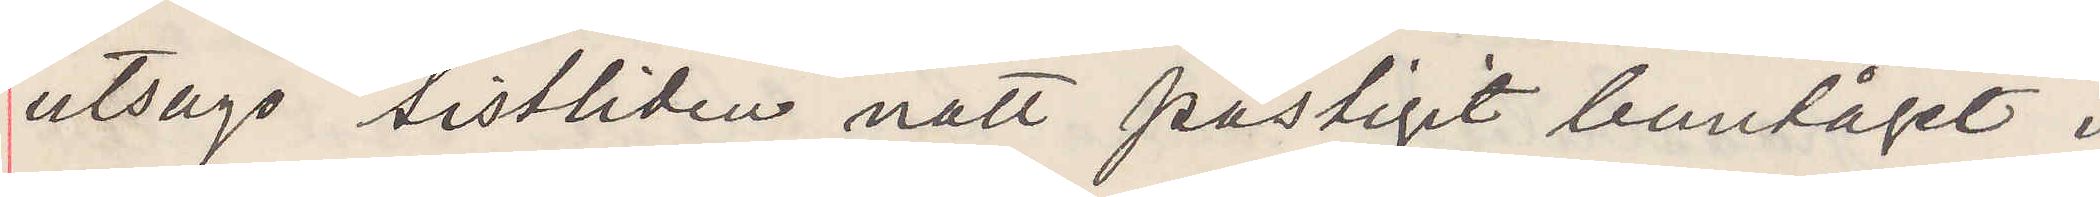utsago sistliden natt påstigit bantåget i
